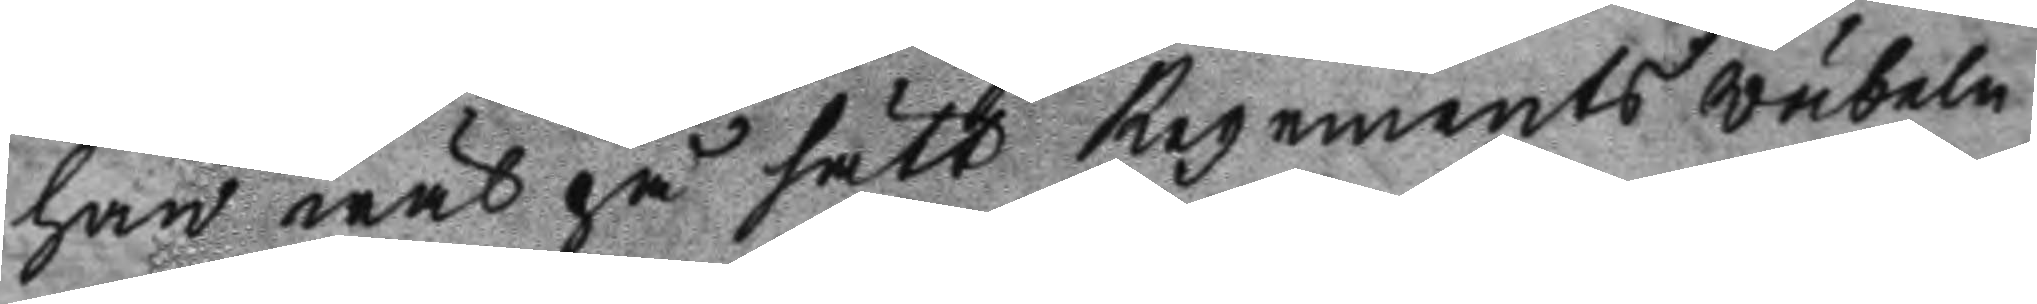han wäl på sätt Regements wäbeln
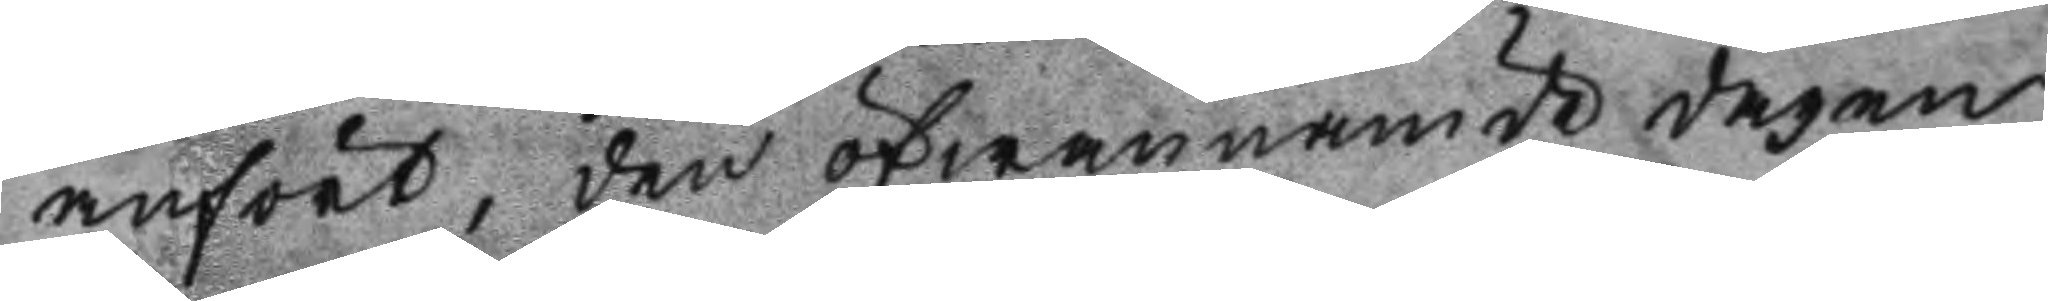anfört, den ofwannämde dagen
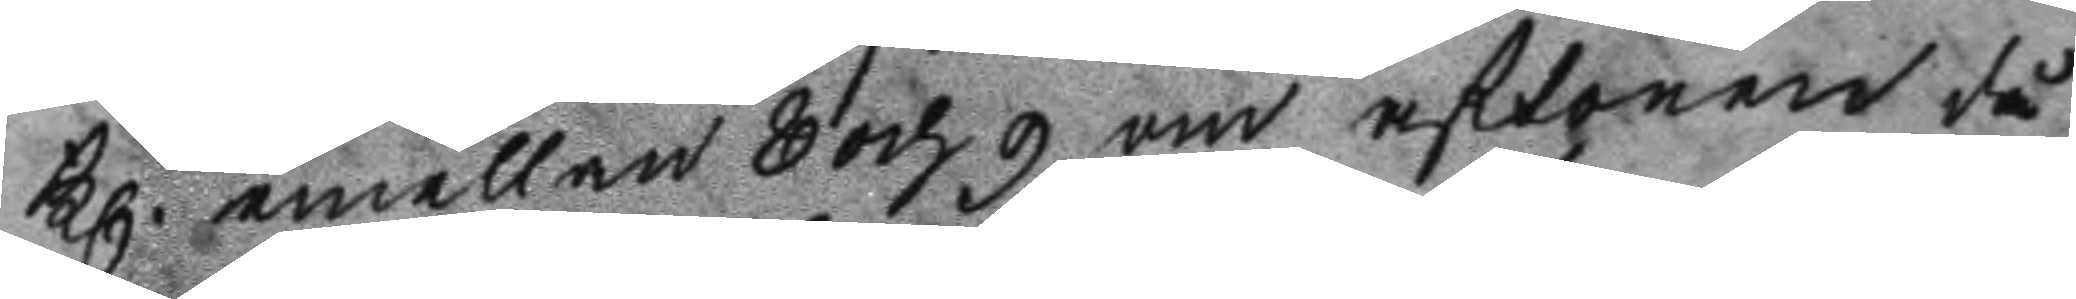Kl. emellan 8 och 9 om aftonen då
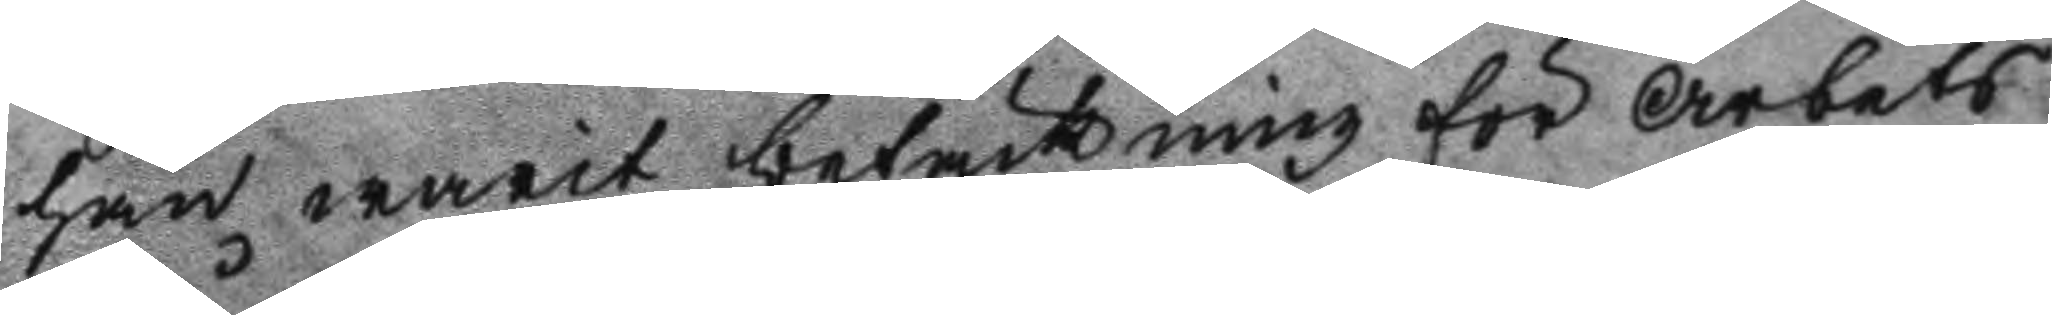han warit betäckning för Arbets
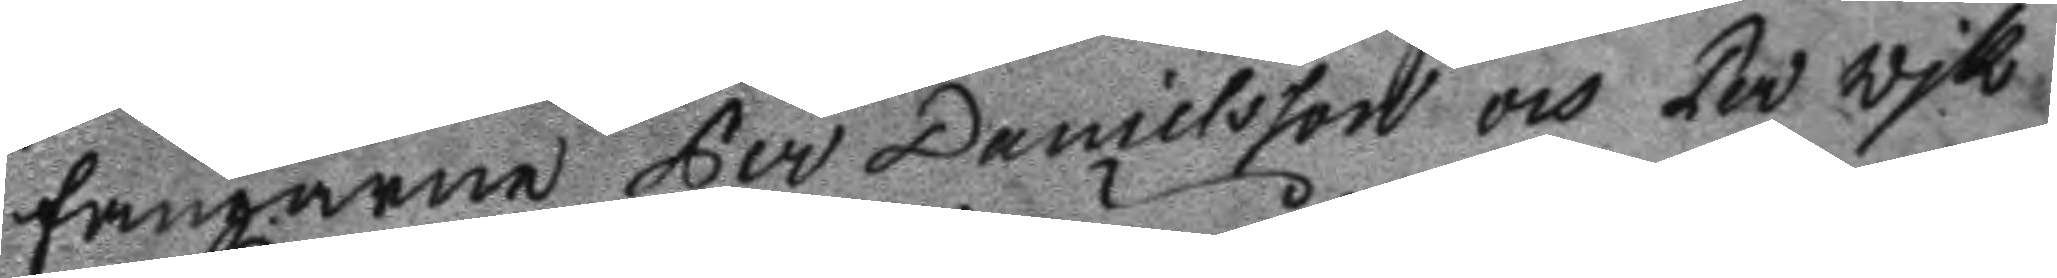fångarne Per Danielsson och Per Wik
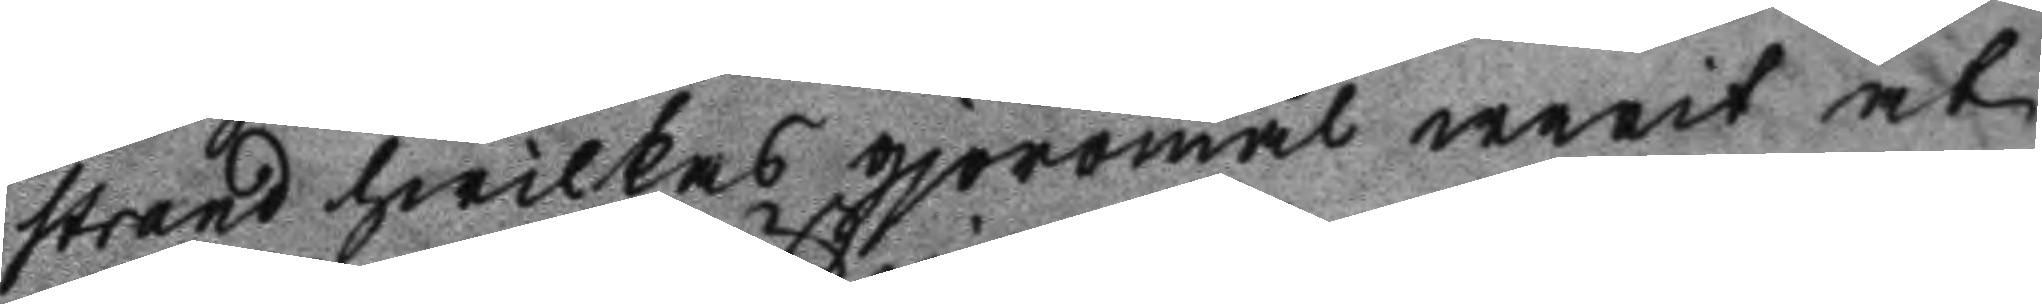strand hwilkas gjöromål warit at
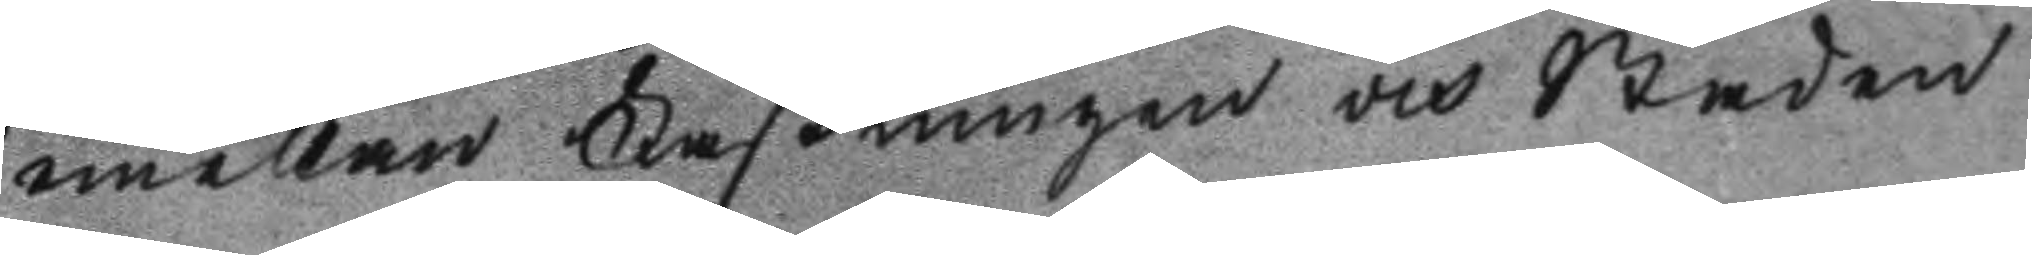mellan Fästningen och Staden
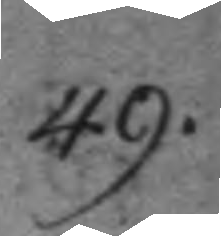49.
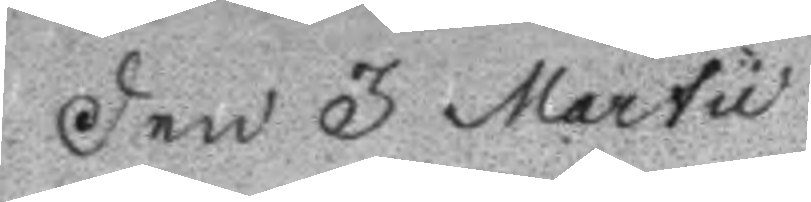Den 3 Martu
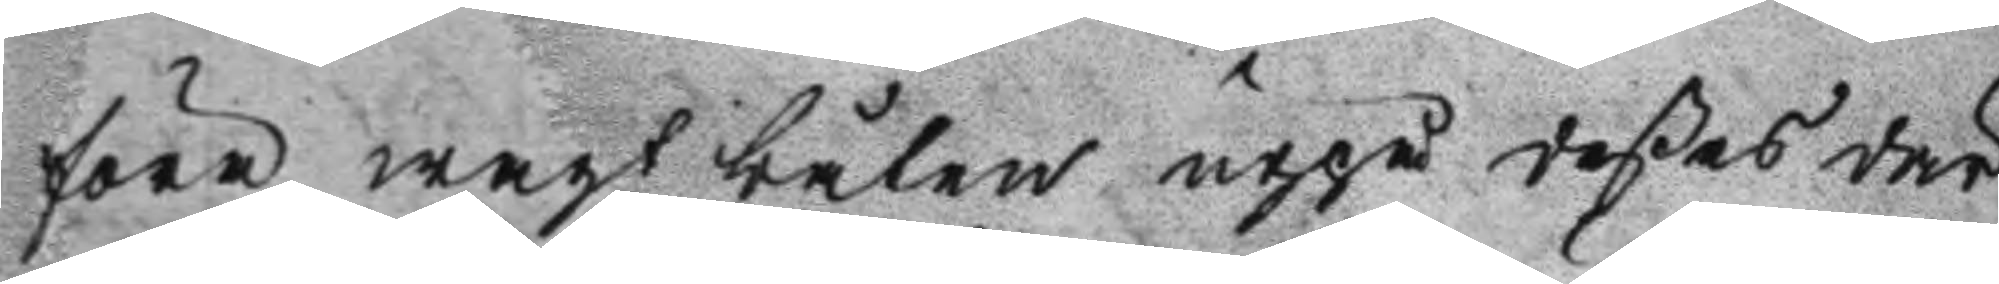föra wagt båten uppå deßes där
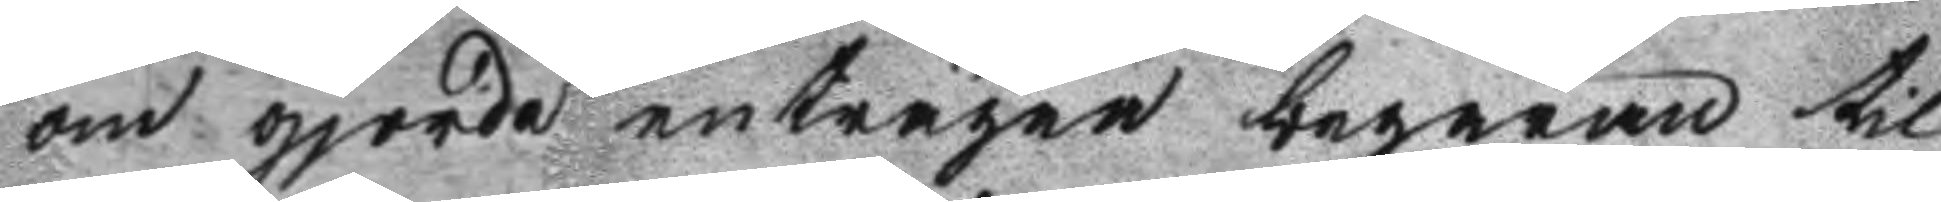om gjorde enträgne begäran til
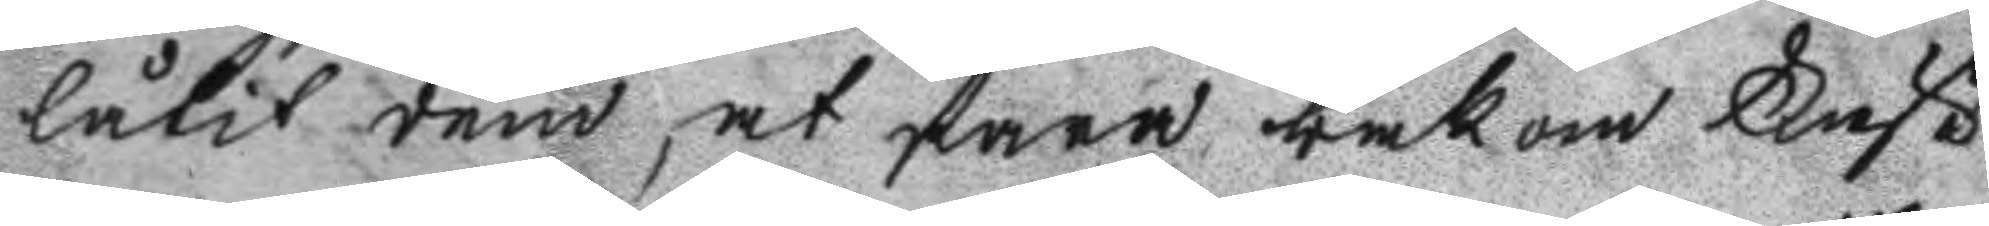låtit dem, at fara bakom Fäst
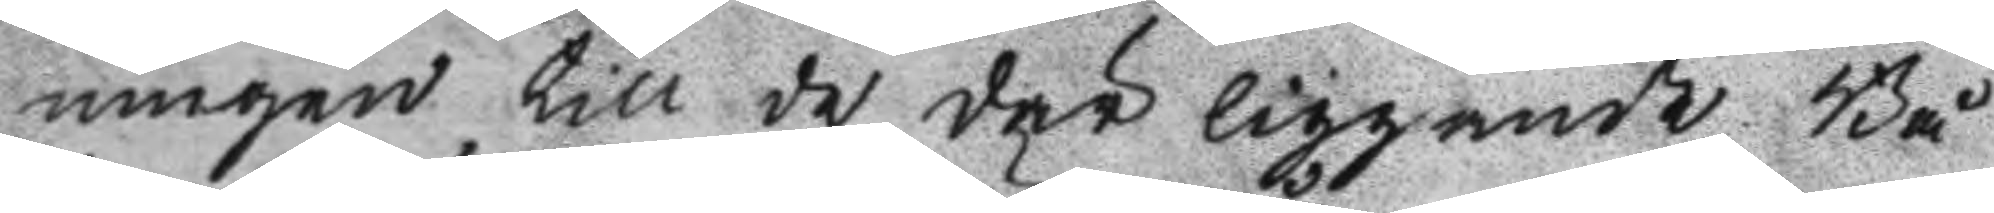ningen till de där liggande Bå
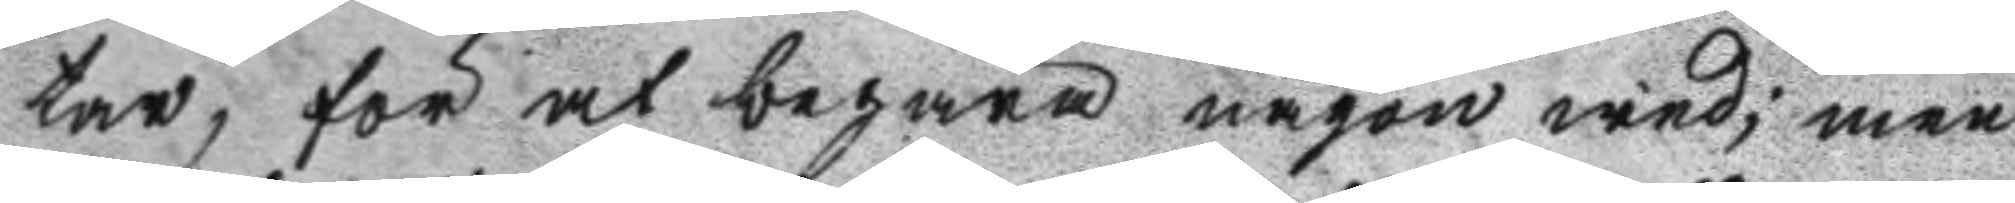tar, för at begära någon wed; men
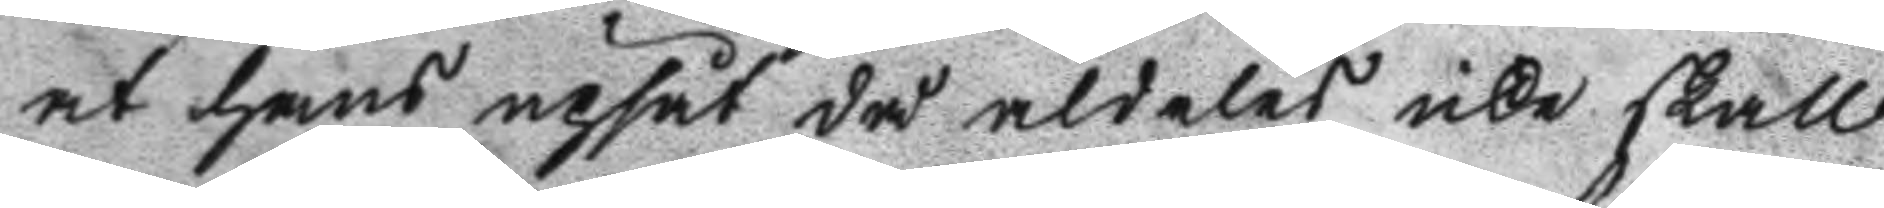at hans upsåt då aldeles icke skall
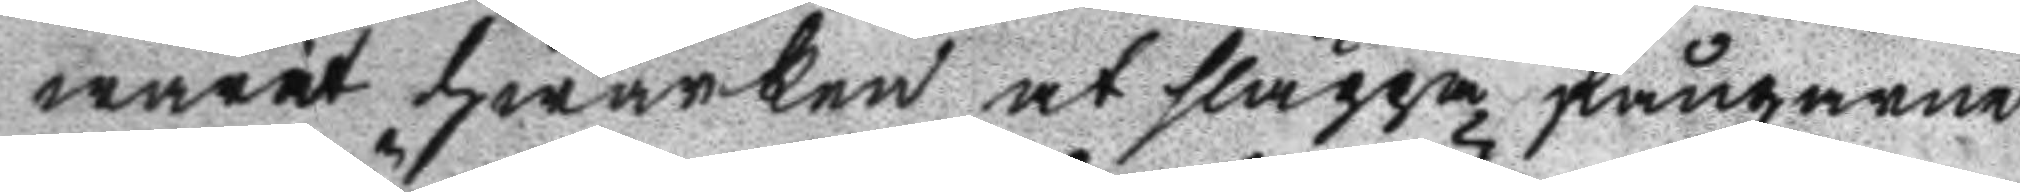warit hwarken at släppa fångarne
